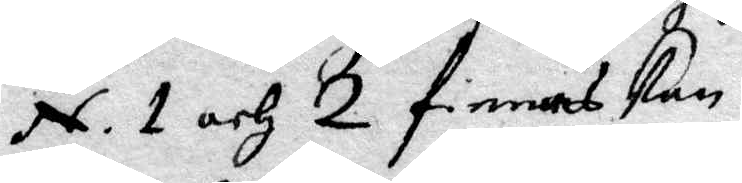N. 1 och 2 finnas kan.
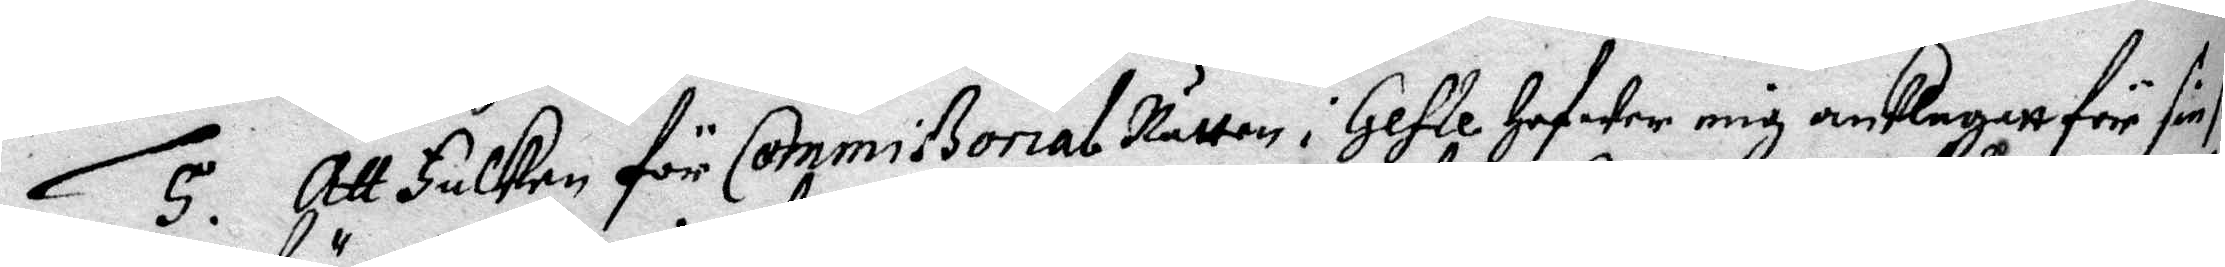5. Att Falken för Commißorial Rätten i Gefle hafwer mig anklagatt för sin s
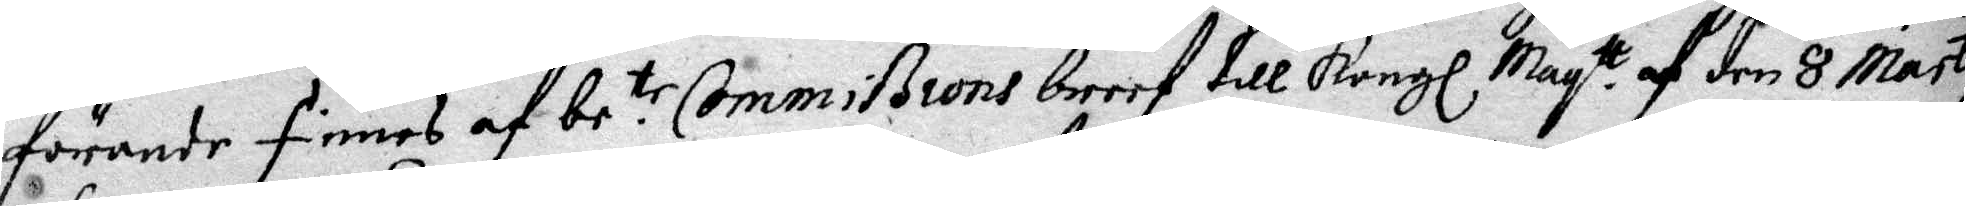förande finnes af be.te Commißions breef till Kongl May.tt af den 3 Marty
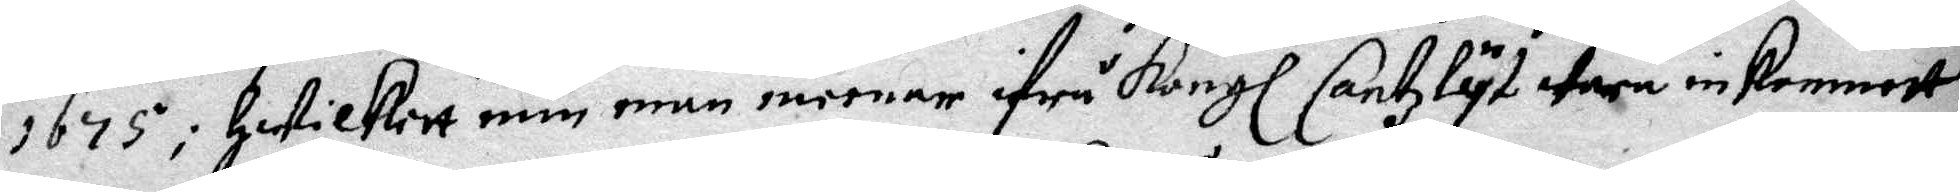1675; Hwilkett min man meenar ifrå Kongl. Cantzlyt wara inkommett.
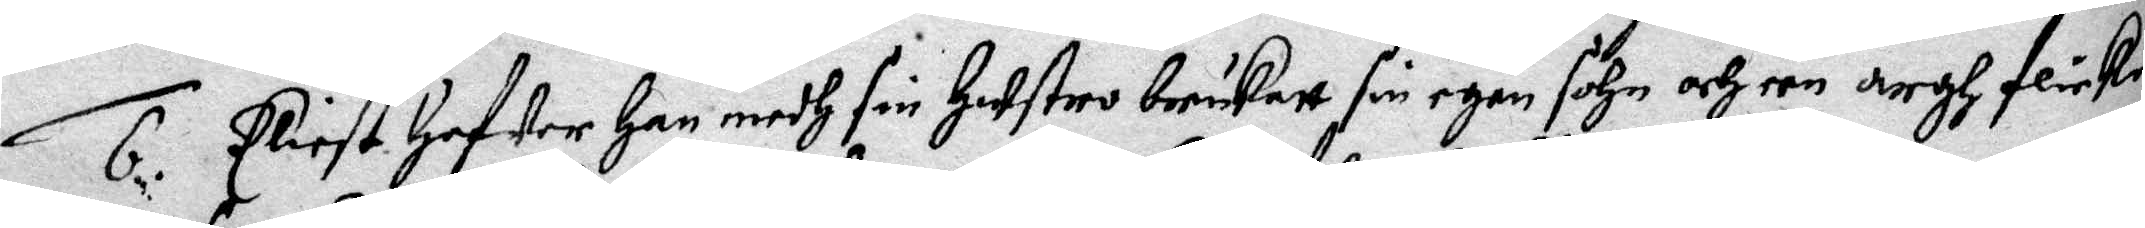6. Eliest hafwer Han medh sin Hustro brukatt sin egen sohn och een argh flicka
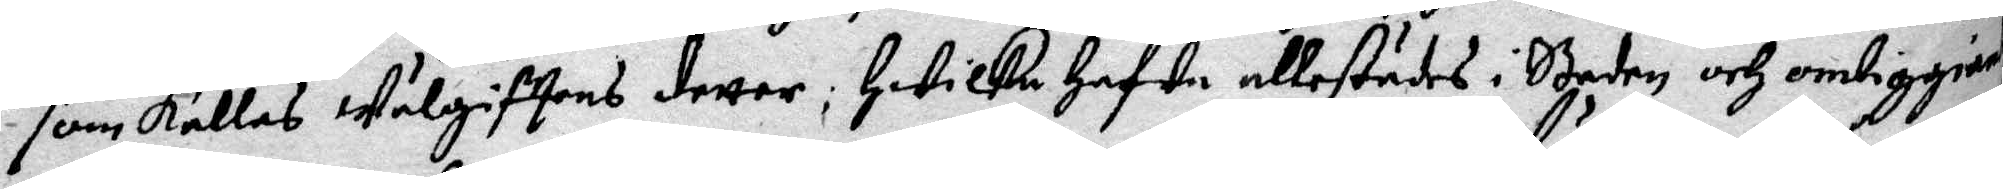som Kallas Wälgifftens dotter; Hwilka Hafwa allestädes i Staden och omliggiande
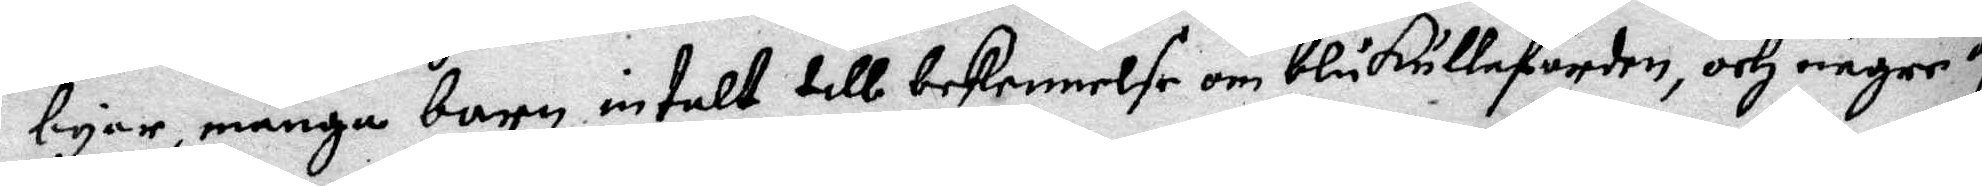byar, många barn intalt till bekennelse om blåkullafärden, och någre af
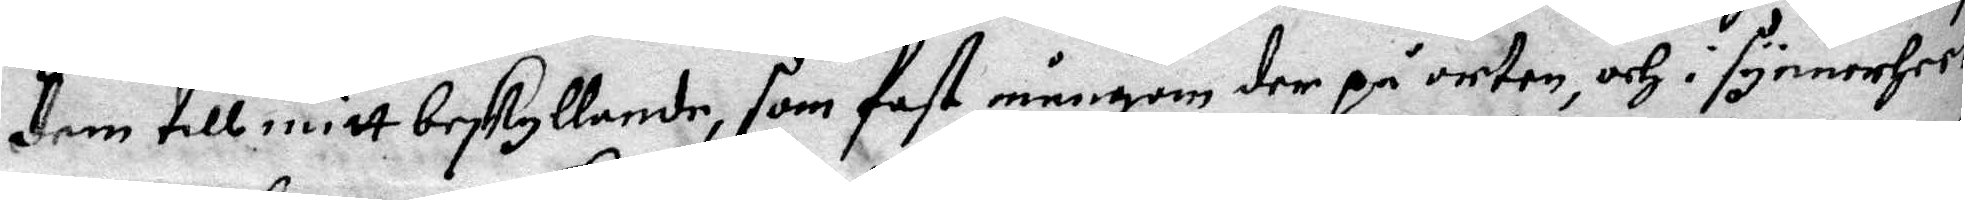dem till mitt beskyllande, som fast mångom der på orten, och i synnerheete
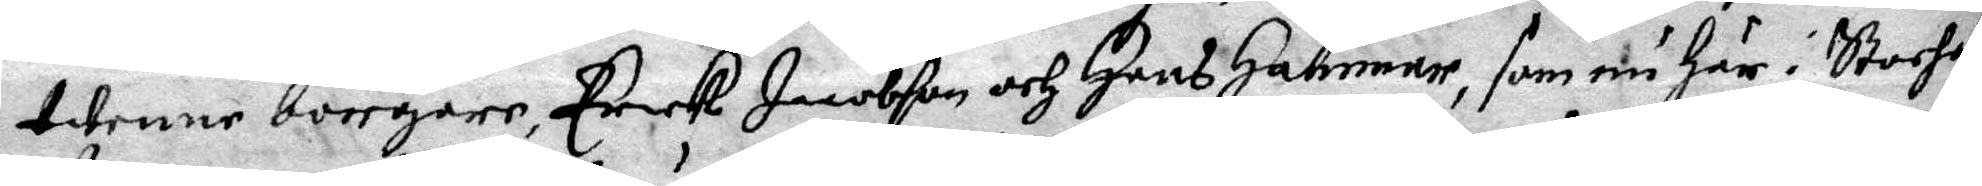twenne borgare, Erick Jacobson och Hans Hammar, som nu Här i Stochalm
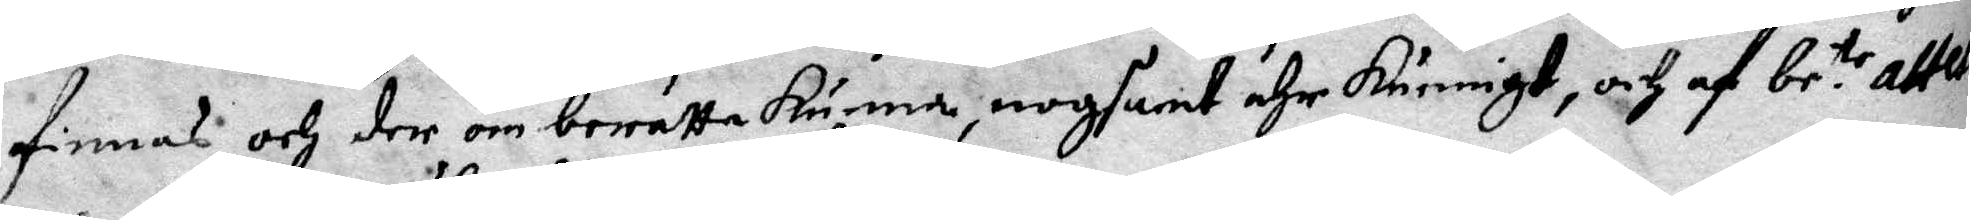finnas och der om berätta kunna, nogsant ähr kunnigt, och af be:te attest
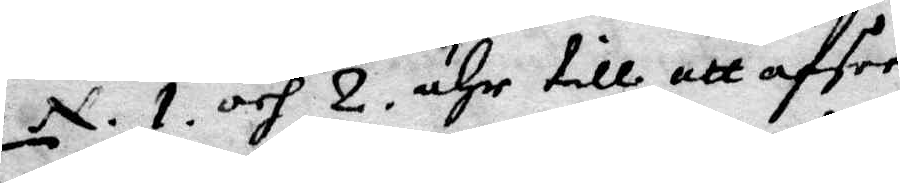N. 1 och 2 ähr till att afsee.
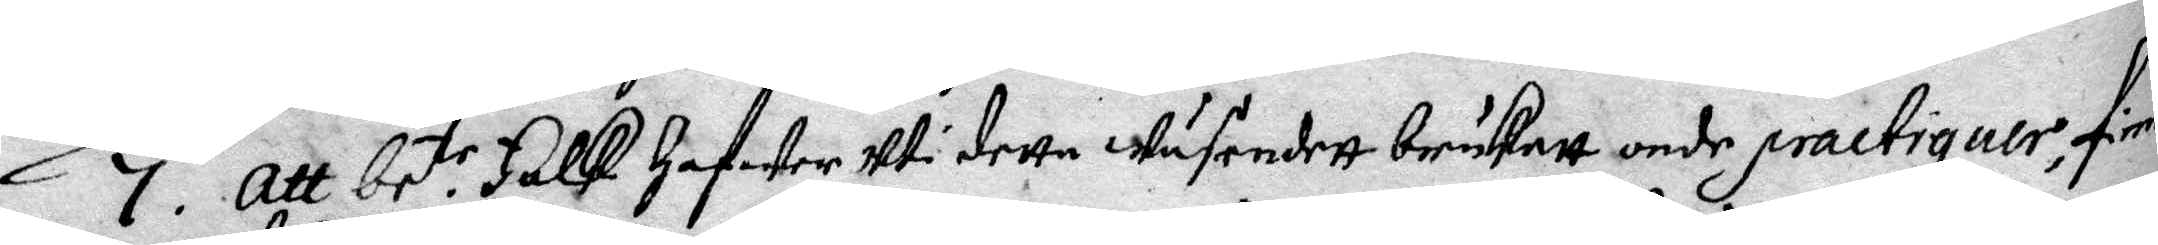7. Att be:te Falk hafwer Uti detta wäsendett brukatt onde practiquer, finnes
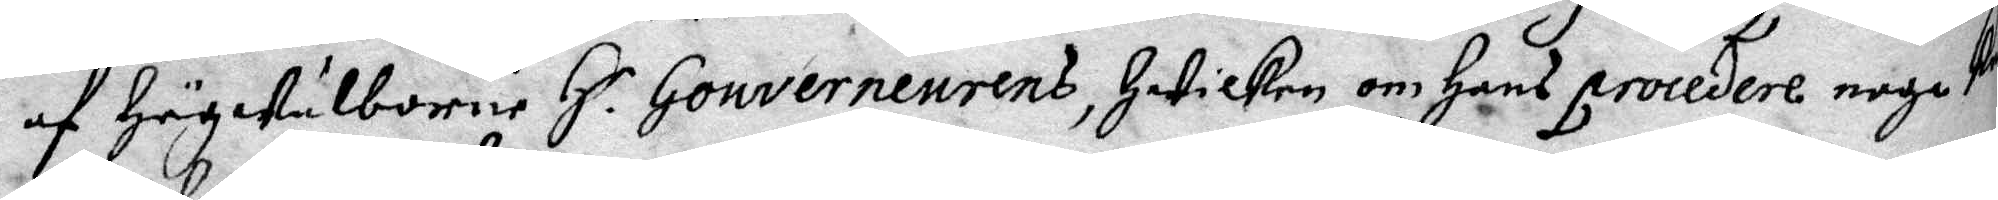af Högwälborne H.r Gouverneurens, Hwilken om hans Procedere noga kun¬
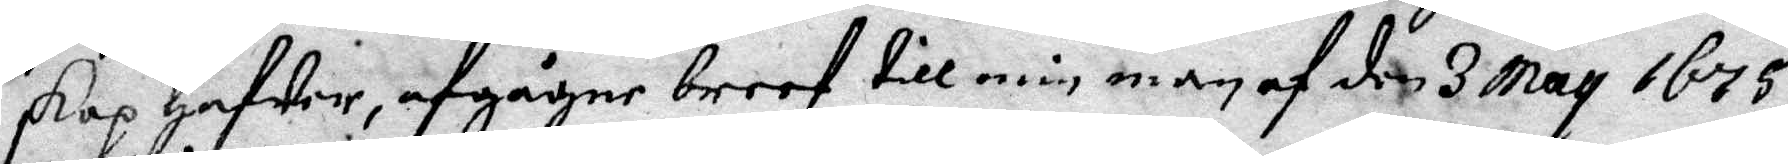skap hafwer, afgågne breef till min man af den 3 May 1675.
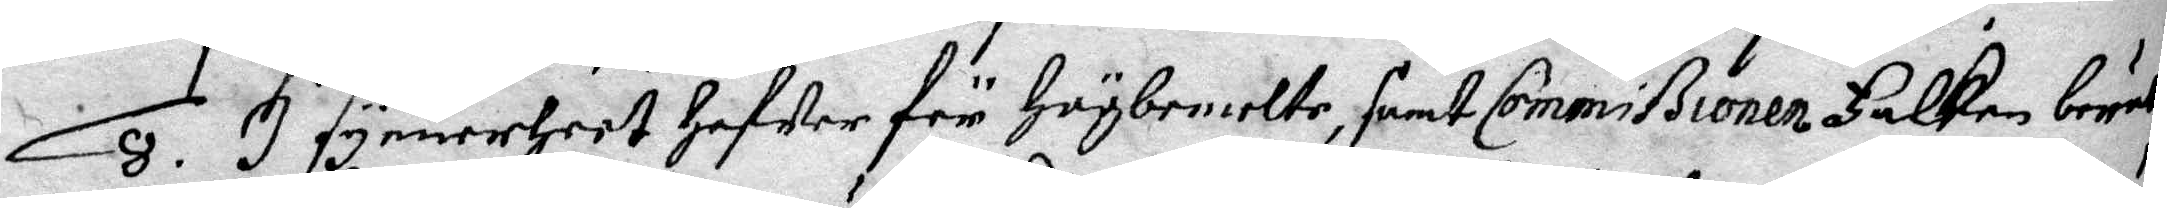8. I synnerheet hafwer för Högbemelte, samt Commißionen Falken berätt
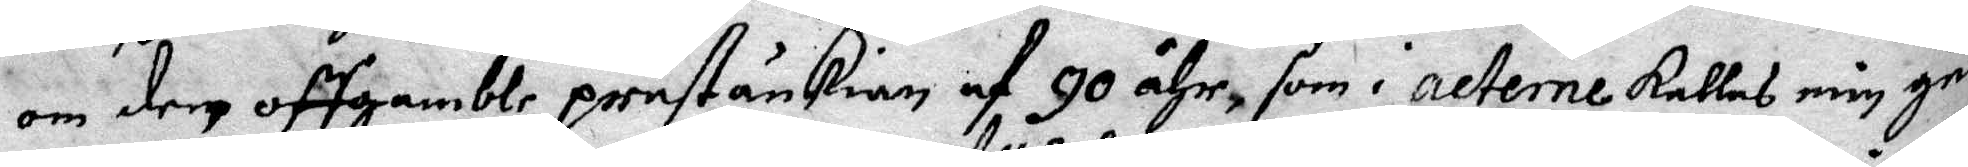om dem aff gamble prestänkian af 90 åhr, som i acterne kallas mig gud¬
